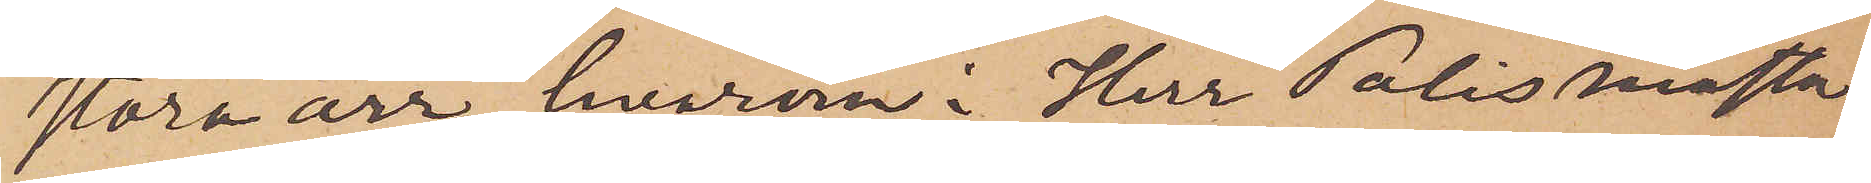stora ärr, hvarom Herr Polismästa¬
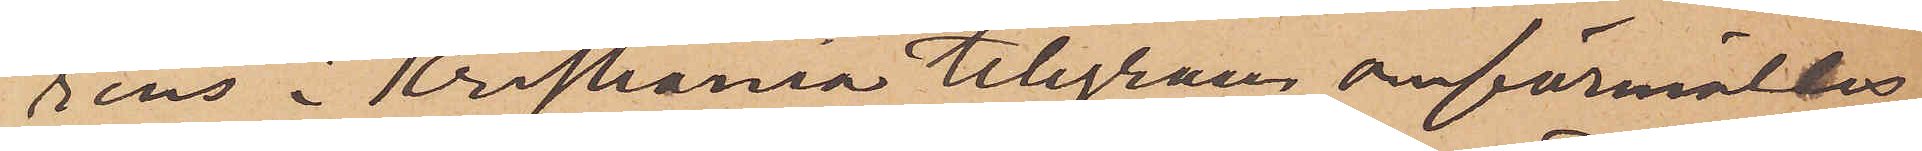rens i Kristiania telegram omförmälts
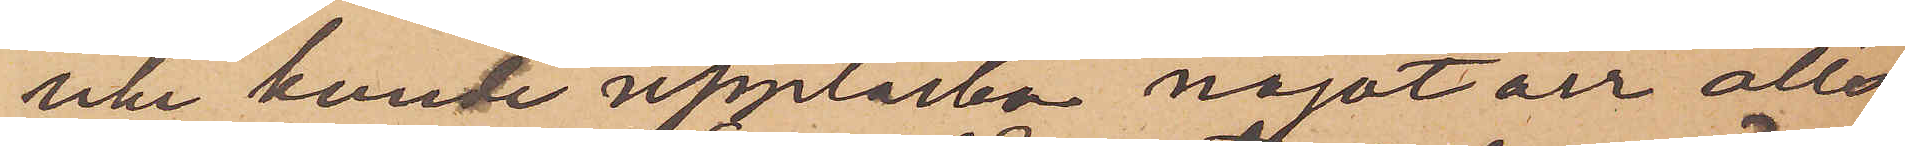icke kunde upptäcka något ärr alls
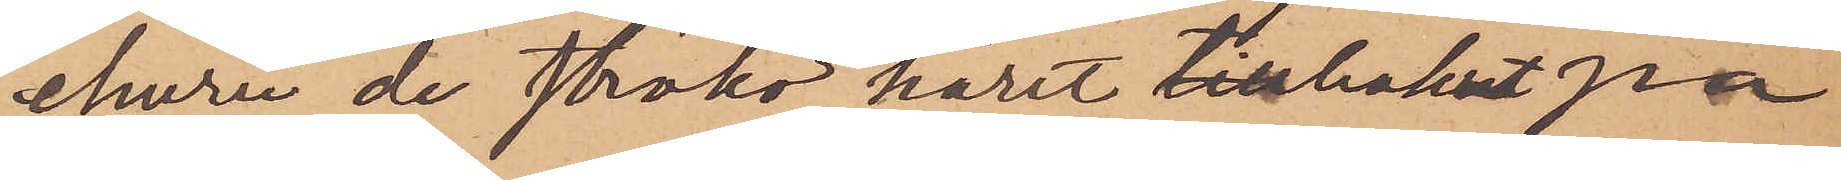ehuru de ströko håret tillbakat på
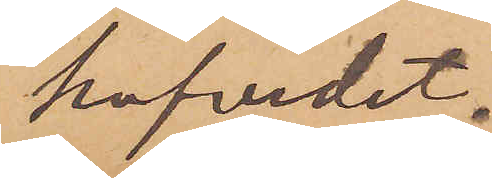hufvudet.
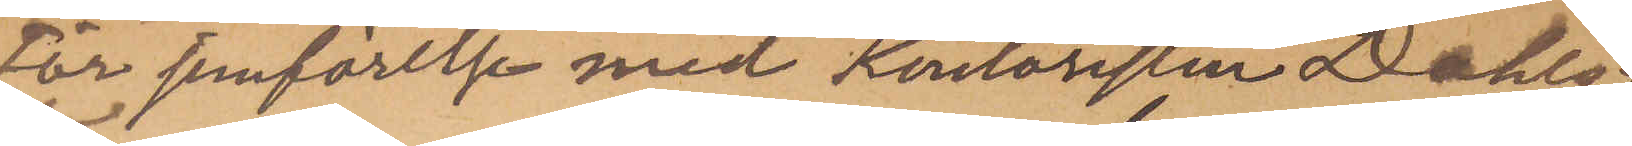för jemförelse med Kontoristen Dahls
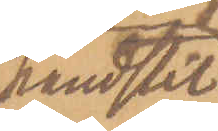handstil
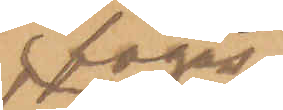fogas
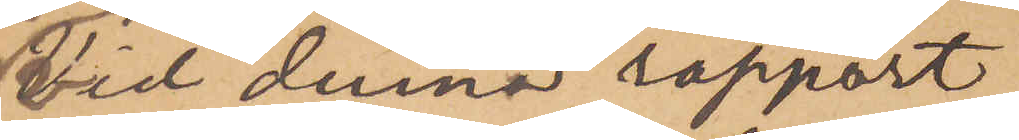vid denna rapport
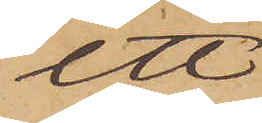ett
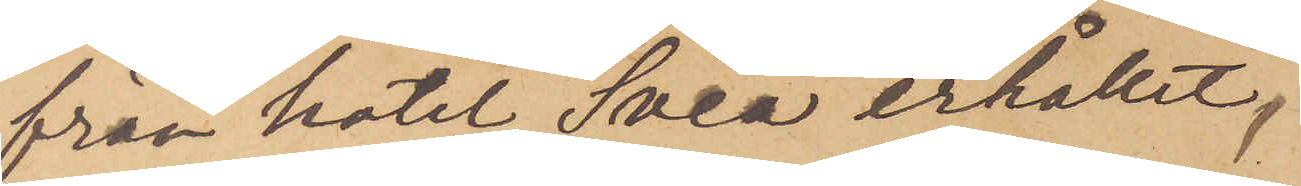från hotel Svea erhållet,
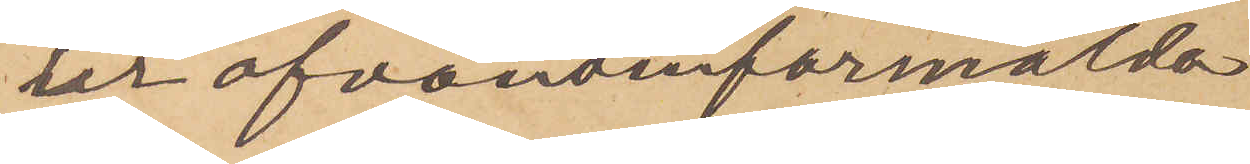ur ofvanomförmälda
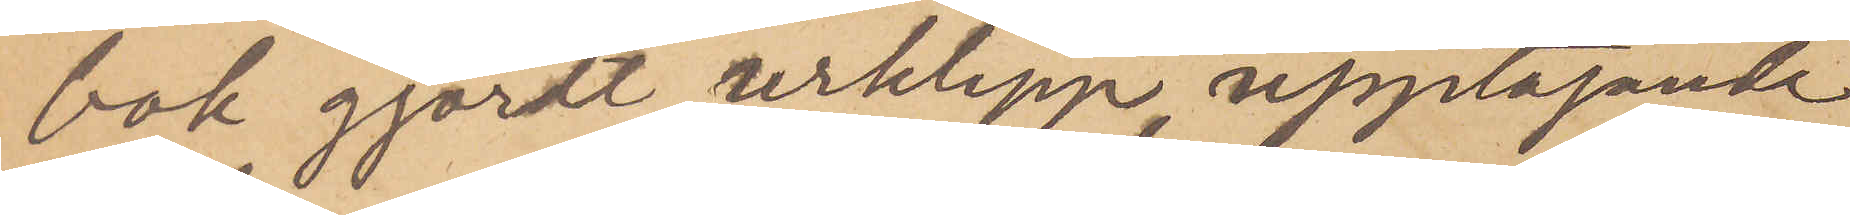bok gjordt urklipp, upptagande
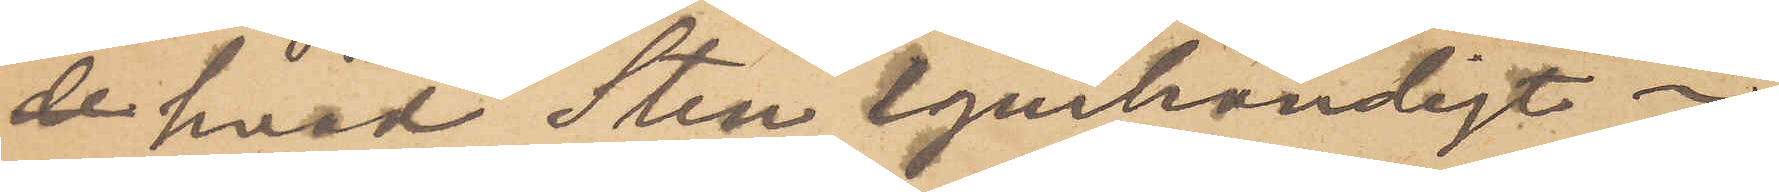de hvad Sten egenhändigt i
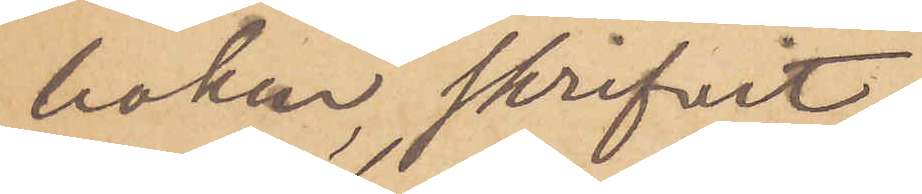boken skrifvit.
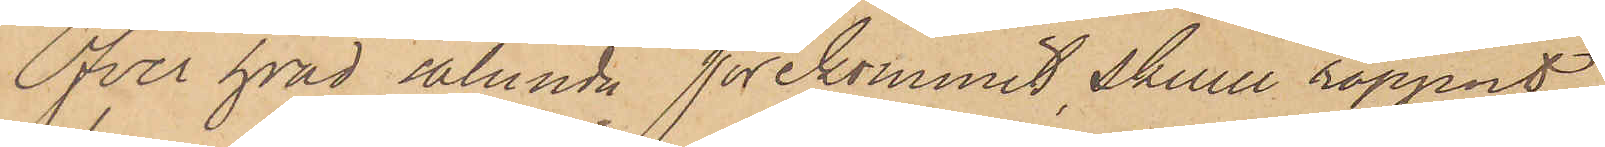Öfver hvad sålunda förekommit, skulle rapport
